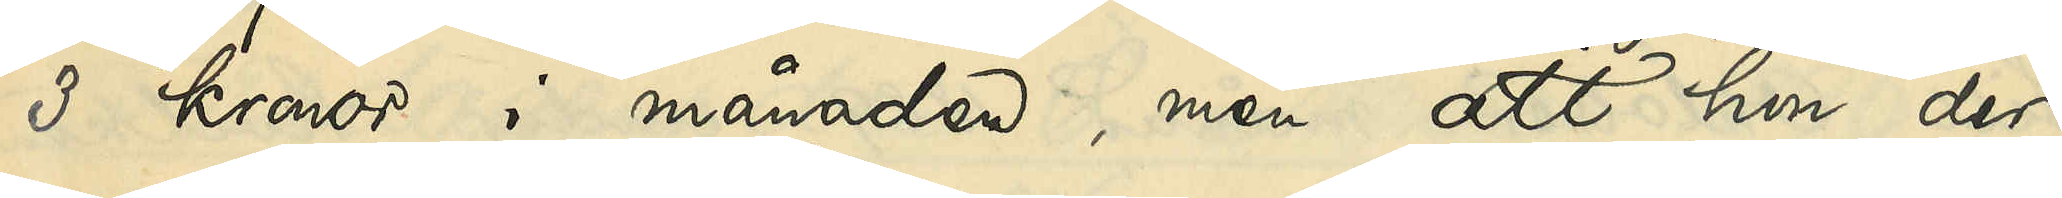3 kronor i månaden, men att hon der¬
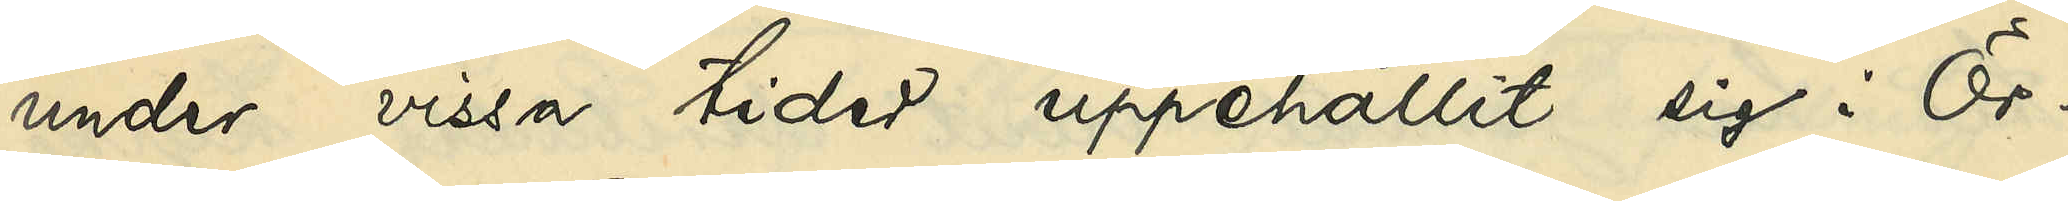under vissa tider uppehållit sig i Ör¬
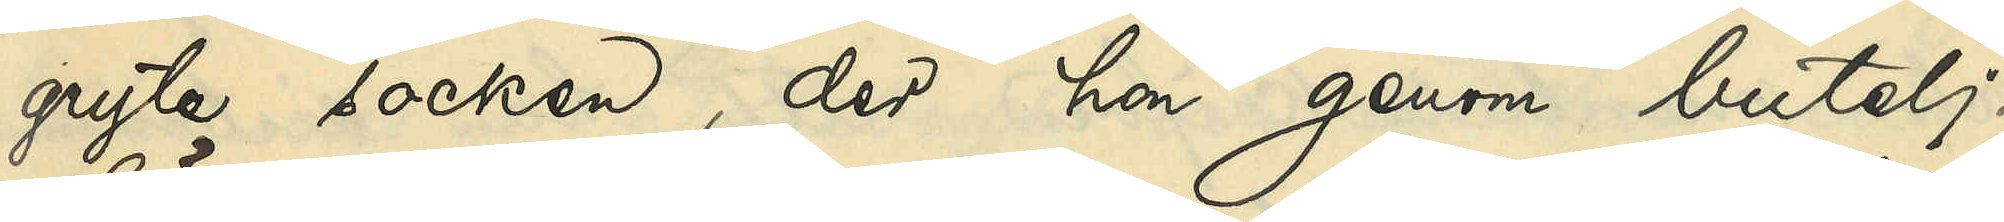gryte socken, der hon genom butelj¬
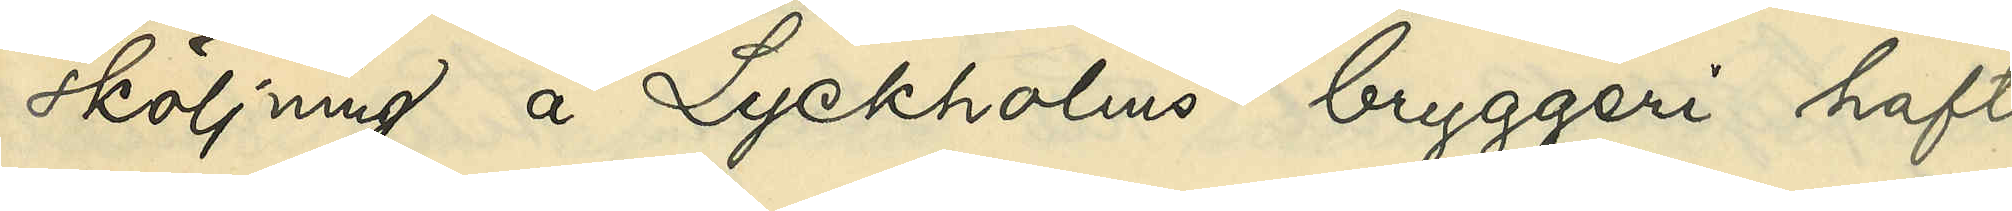sköljning å Lyckholms bryggeri haft
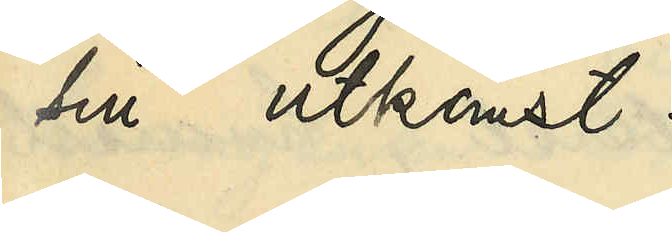sin utkomst.
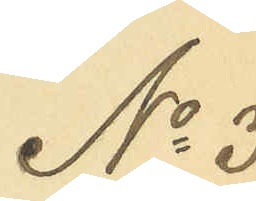No 3
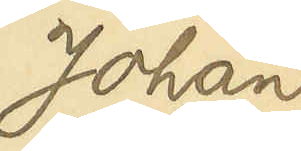Johan
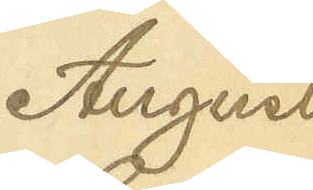August
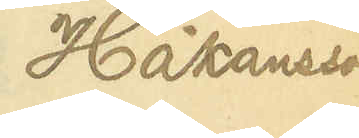Håkansson
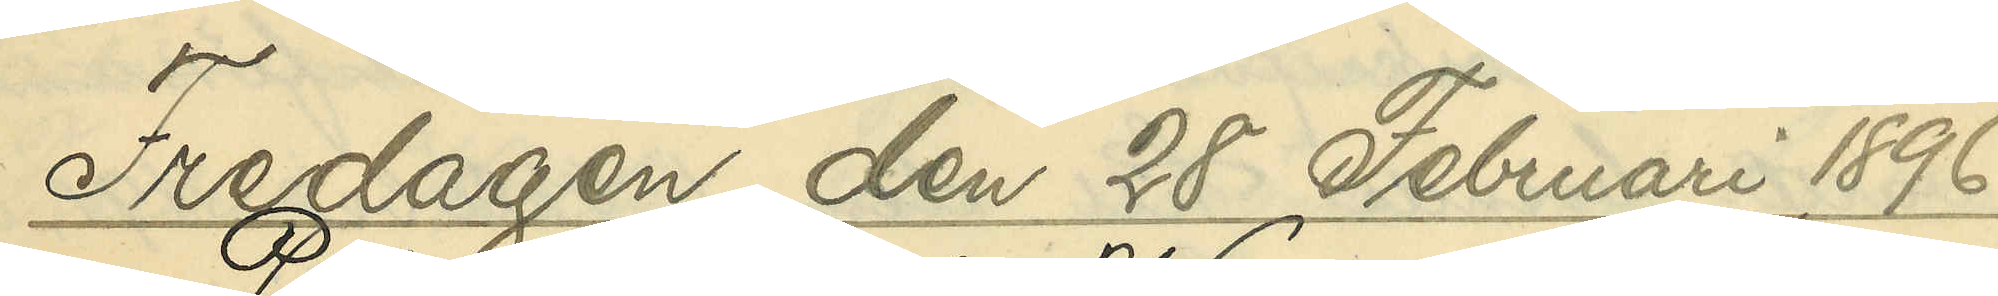Fredagen den 28 Februari 1896
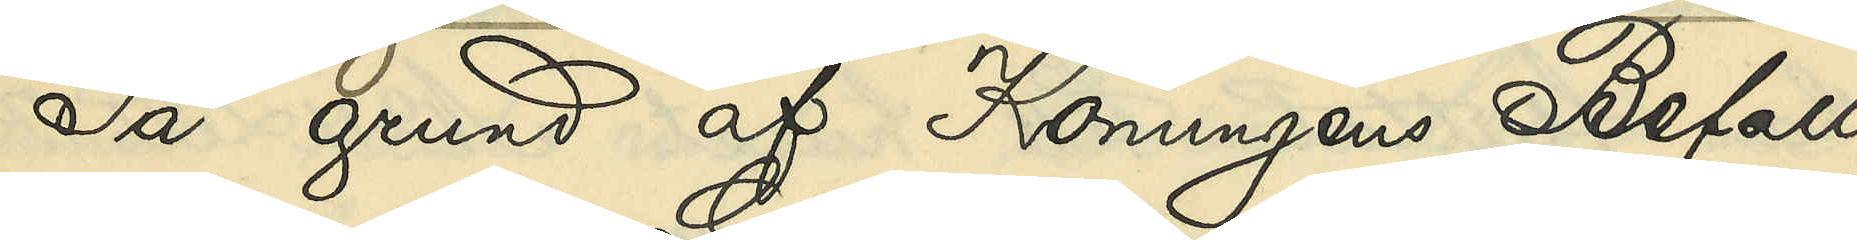På grund af Konungens Befall¬
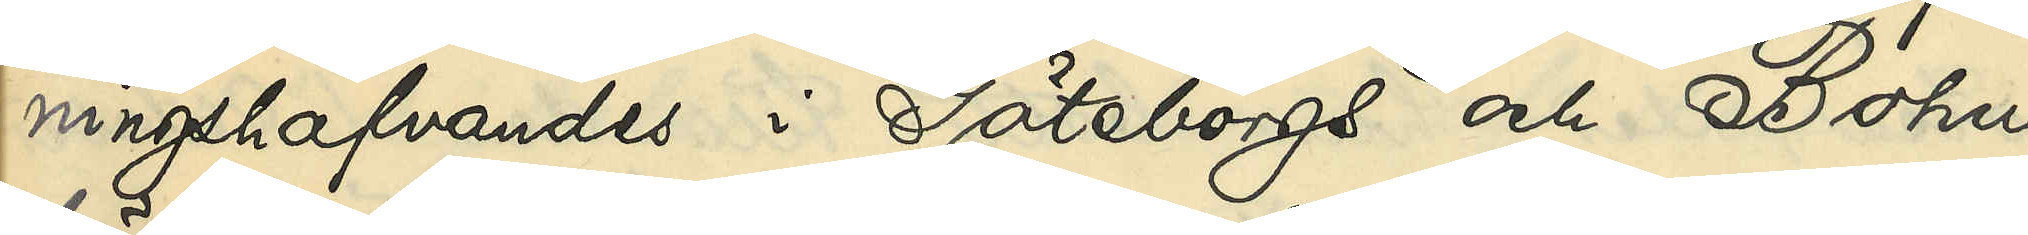ningshafvandes i Göteborgs och Bohus
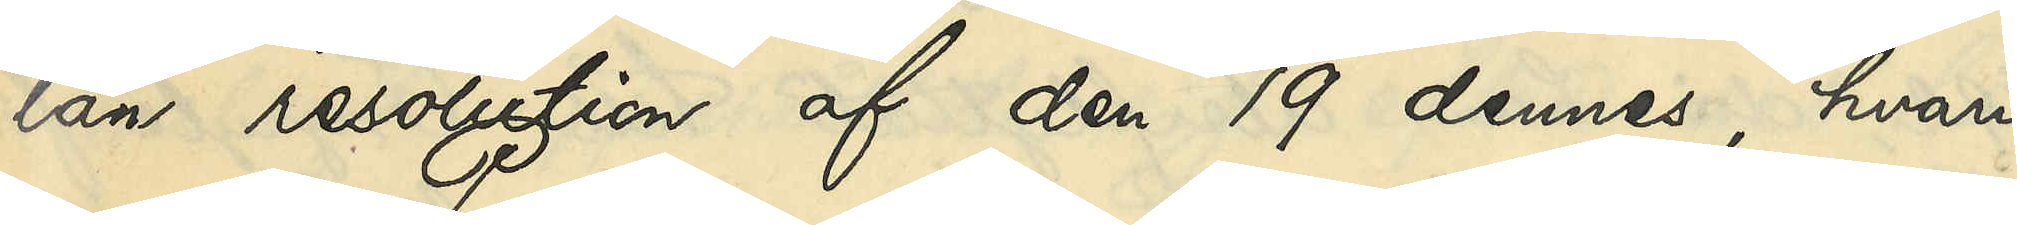län resolution af den 19 dennes, hvari¬
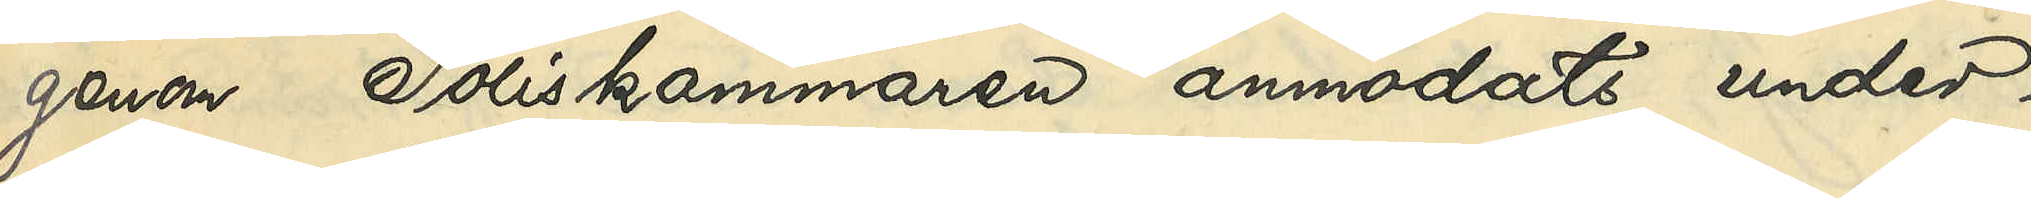genom Poliskammaren anmodats under¬
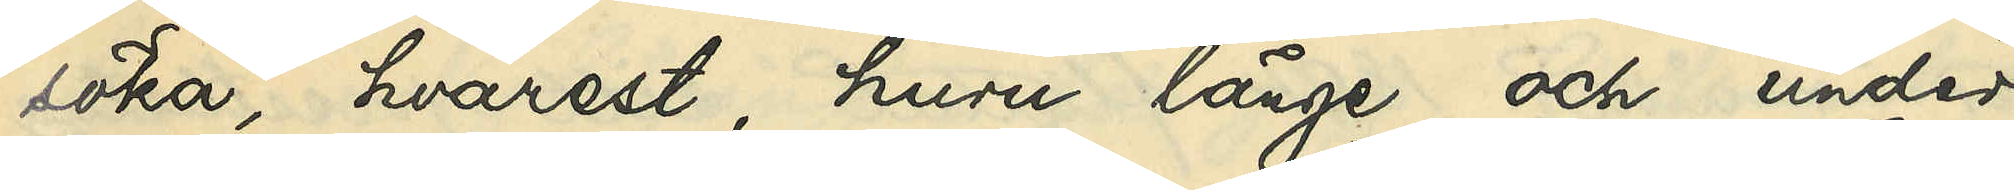söka, hvarest, huru länge och under
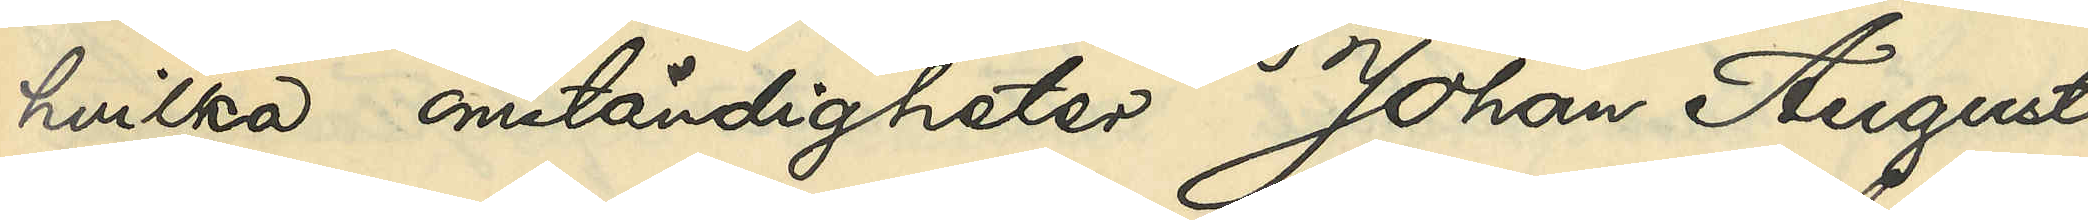hvilka omständigheter Johan August
